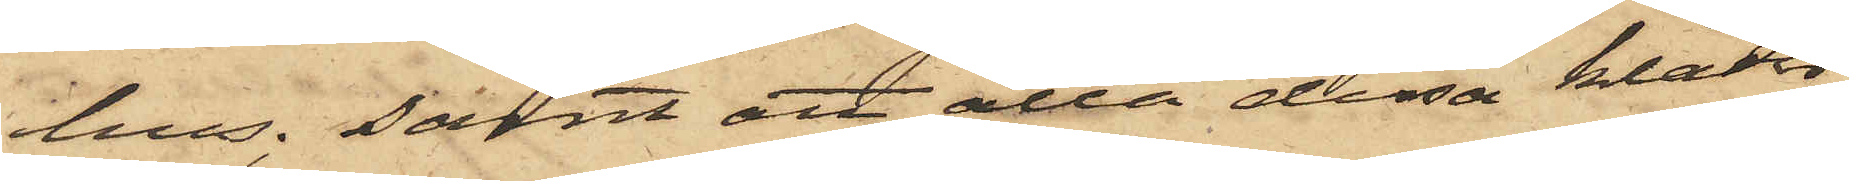hus; samt att alla dessa kläder
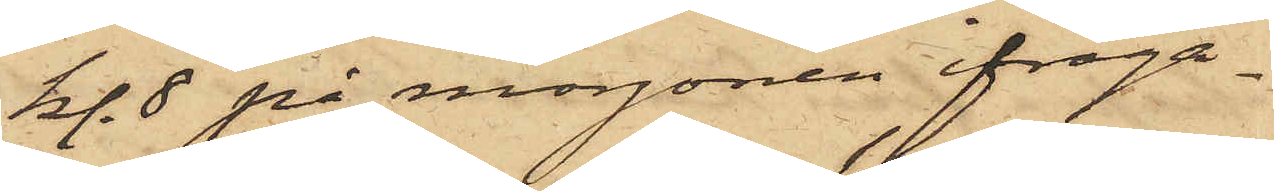kl. 8 på morgonen ifråga¬
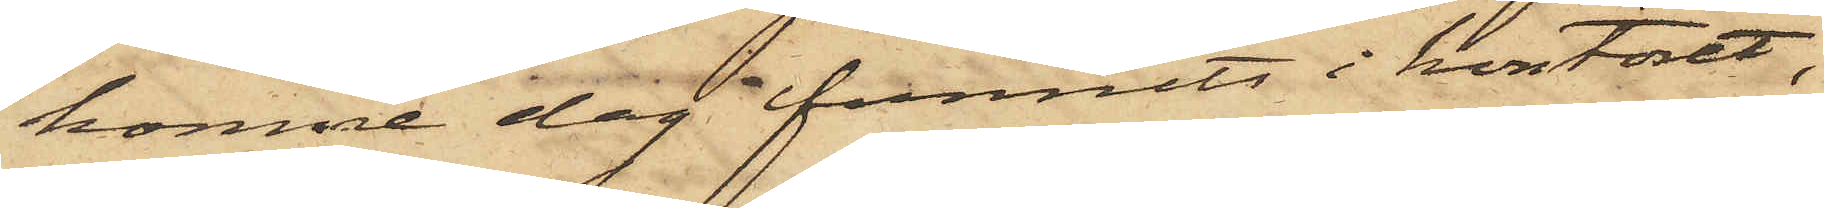komne dag funnits i kontoret,
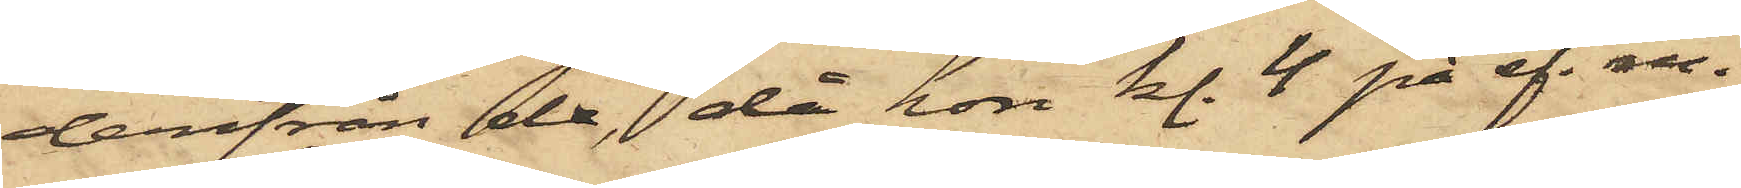derifrån de, då hon kl. 4 på ef. m.
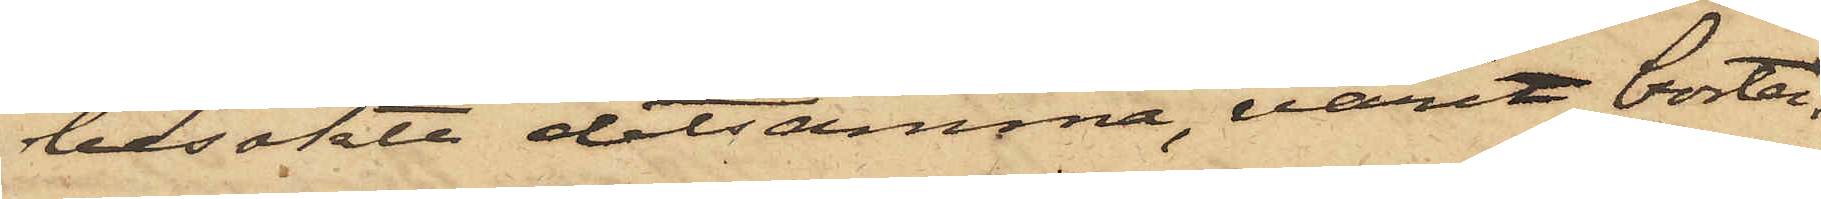besökte detsamma, varit borta.
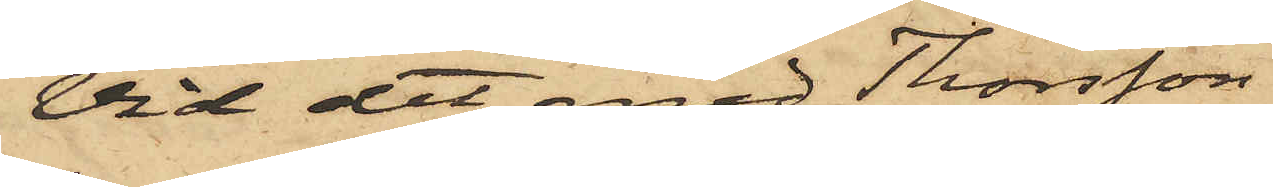Vid det med Thorsson
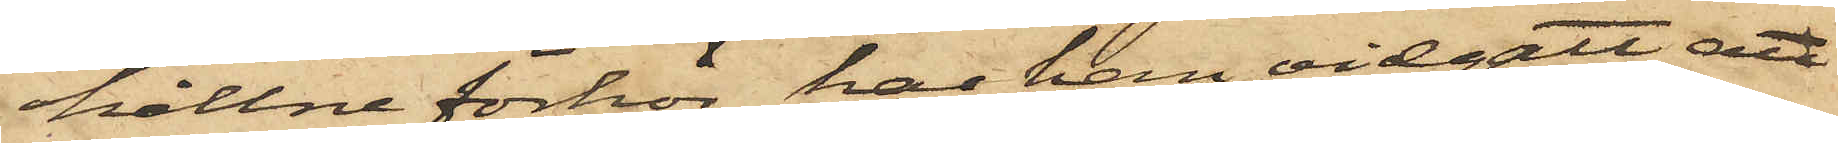hållne förhör har han vidgått, att
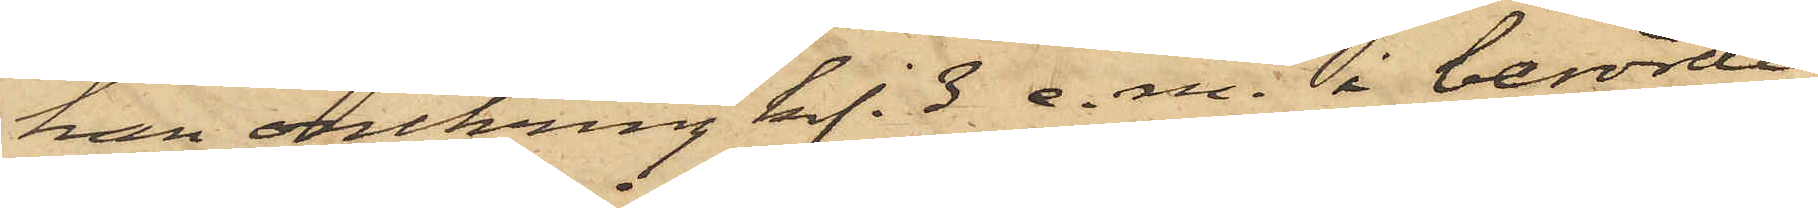han omkring kl. 3 e. m. i berörde
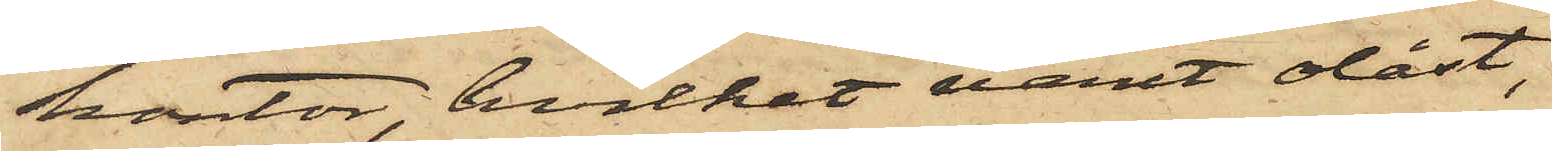kontor, hvilket varit olåst,
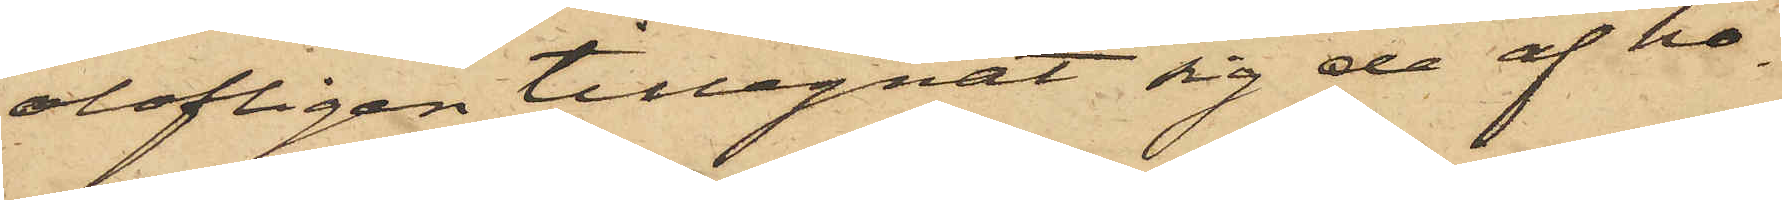olofligen tillegnat sig de af ho¬
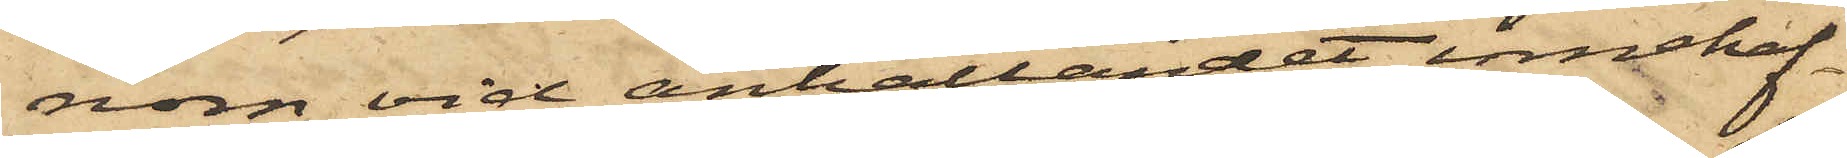nom vid anhållandet innehaf¬
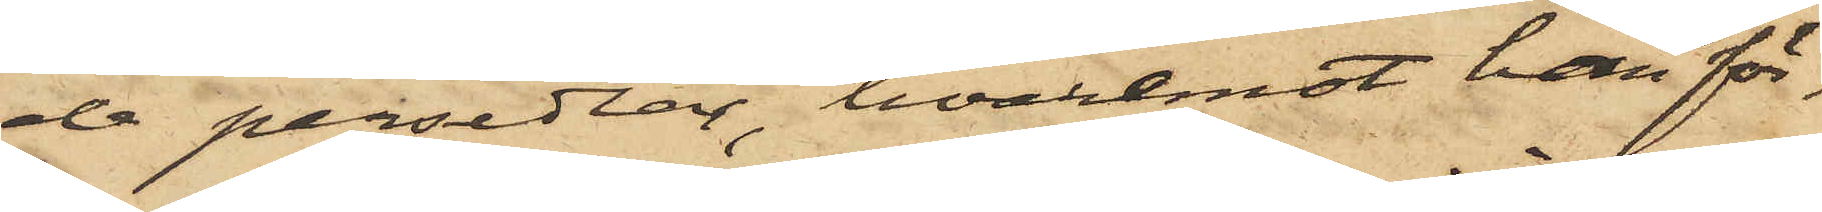de persedlar, hvaremot han för¬
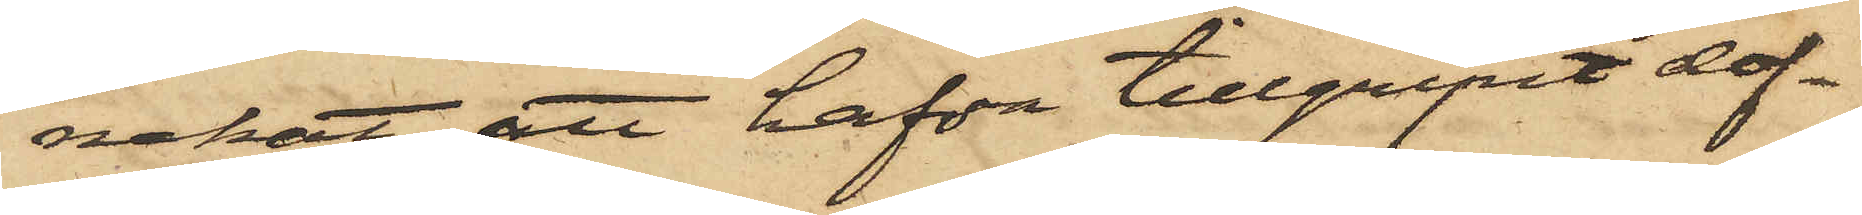nekat att hafva tillgripit dof¬
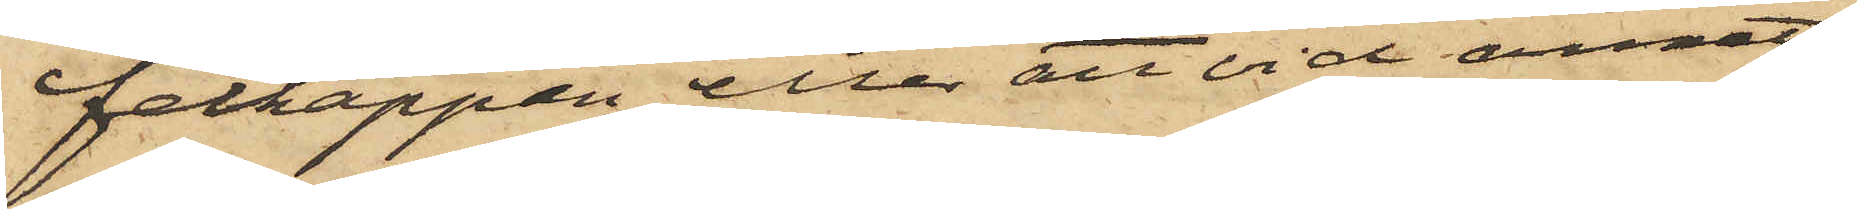felkappan eller att vid annat
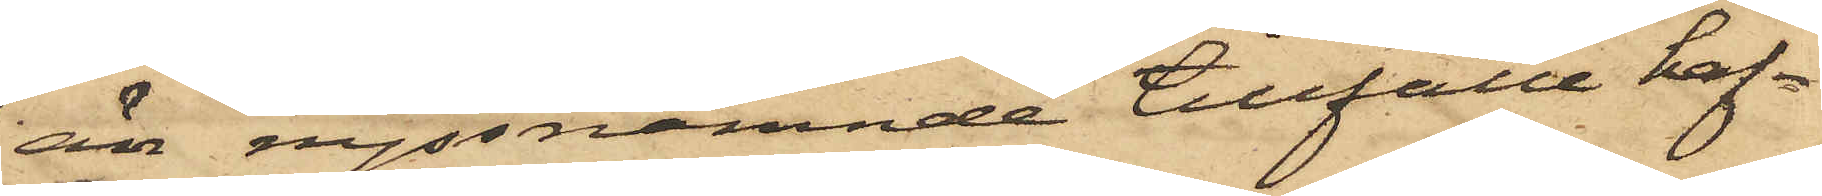än nyssnämnde tillfälle haf¬
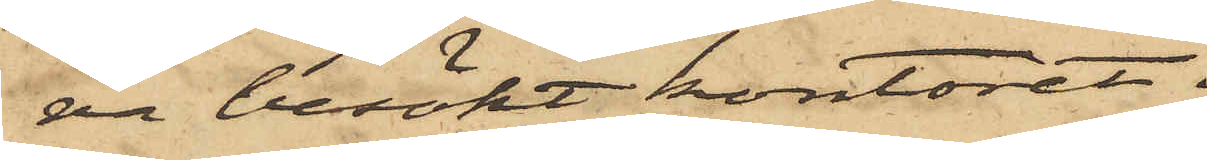va besökt kontoret.
